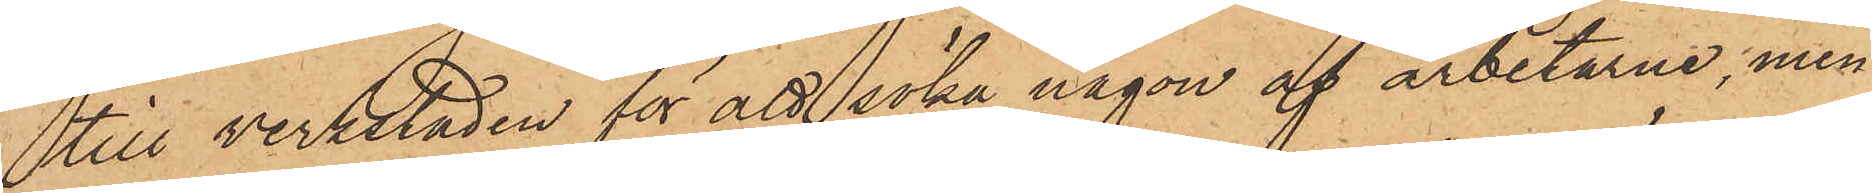till verkstaden för att söka någon af arbetarne, men
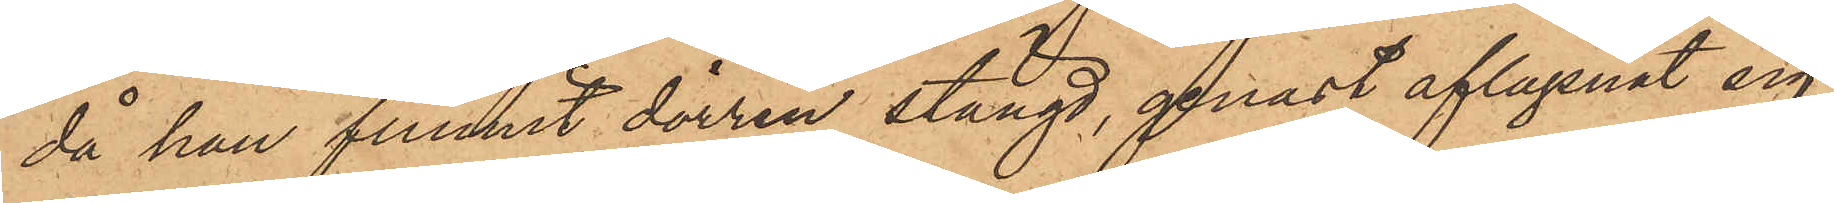då han funnit dörren stängd, genast aflägsnat sig,
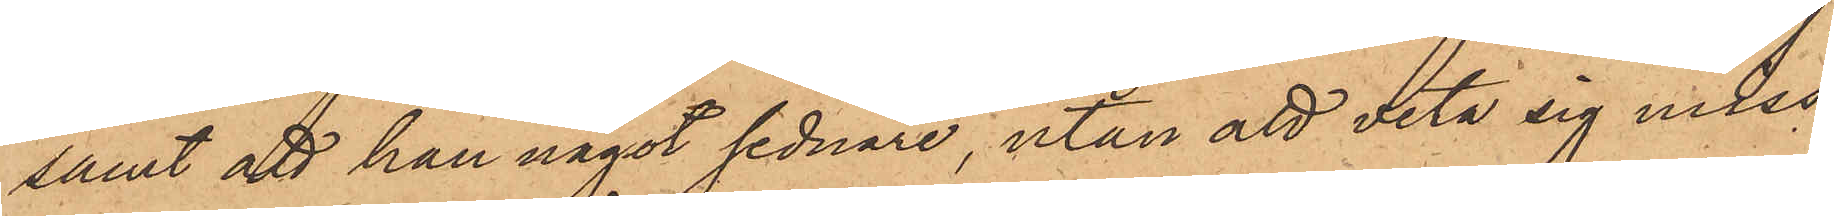samt att han något sednare, utan att veta sig miss¬
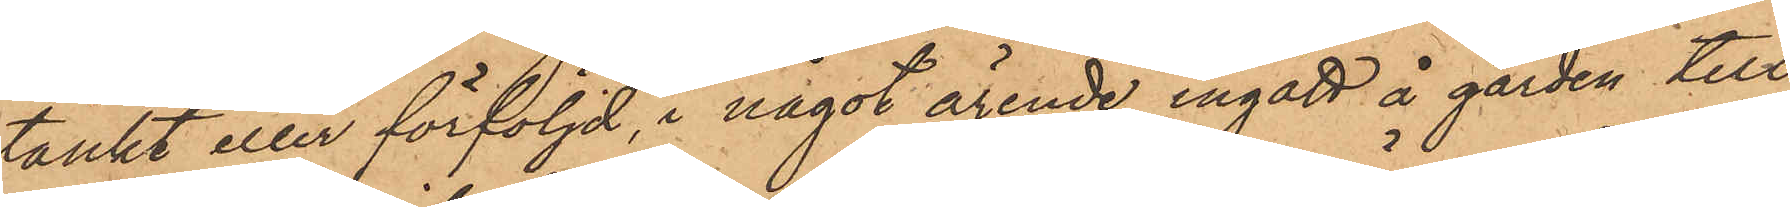tänkt eller förföljd, i något ärende ingått å gården till
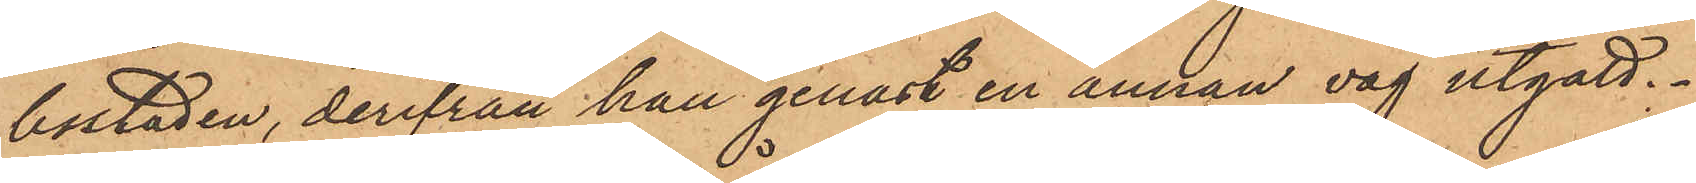bostaden, derifrån han genast en annan väg utgått.
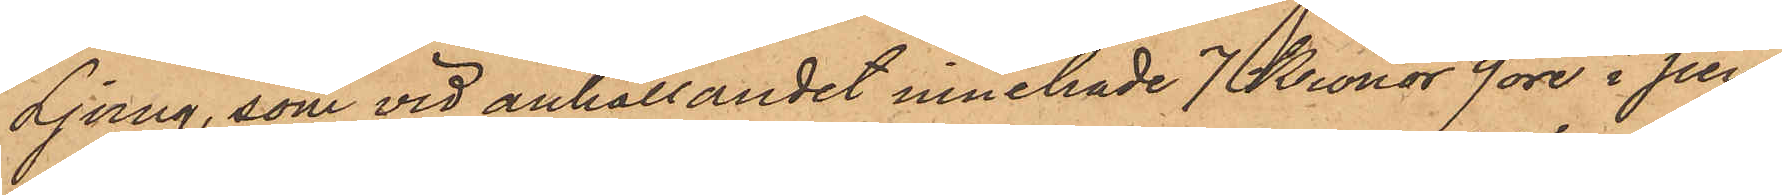Ljurng, som vid anhållandet innehade 7 Kronor 9 öre i pen¬
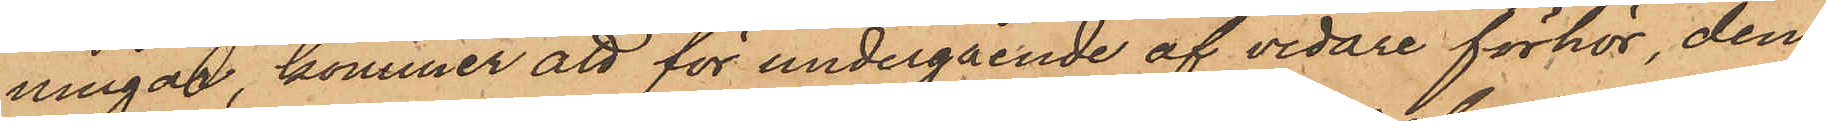ningar, kommer att för undergående af vidare förhör, den¬
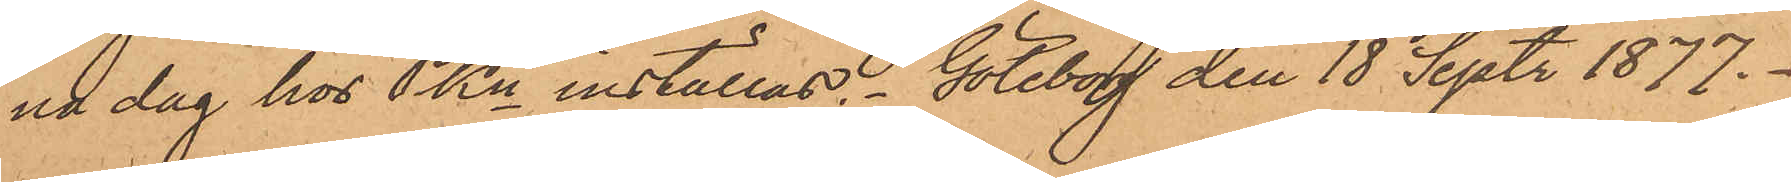na dag hos PKn inställas. Göteborg den 18 Sept. 1877.
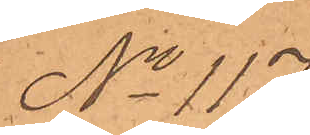No 117
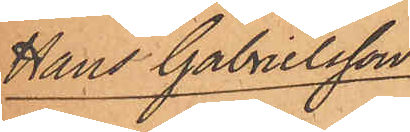Hans Gabrielsson
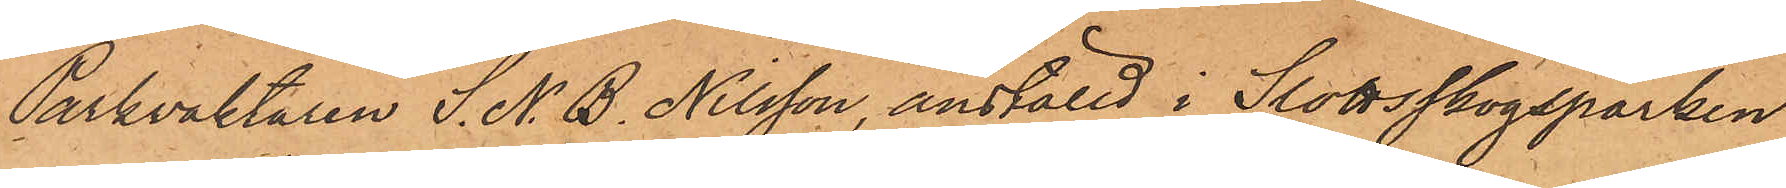Parkväktaren S. N. B. Nilsson, anställd i Slottsskogsparken
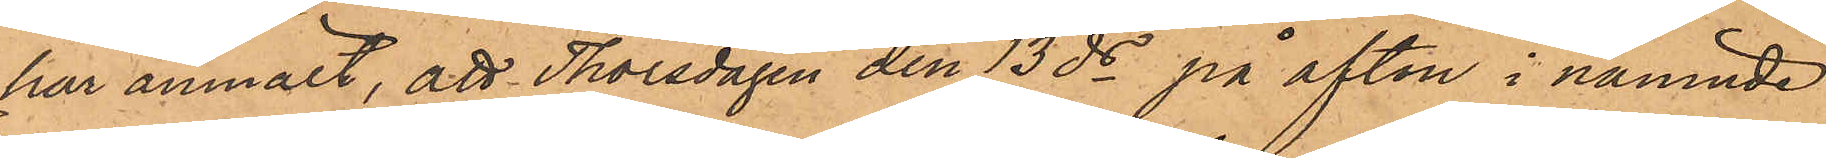har anmält, att Thorsdagen den 13 ds på afton i nämnde
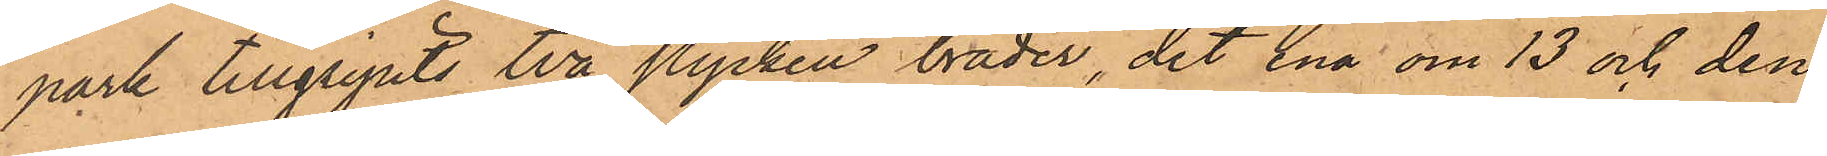park tillgripits två stycken bräder, det ena om 13 och den
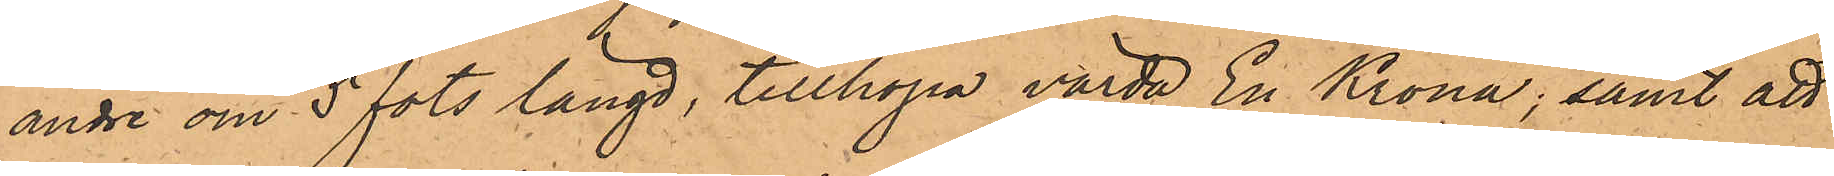andre om 5 fots längd, tillhopa värda En Krona; samt att
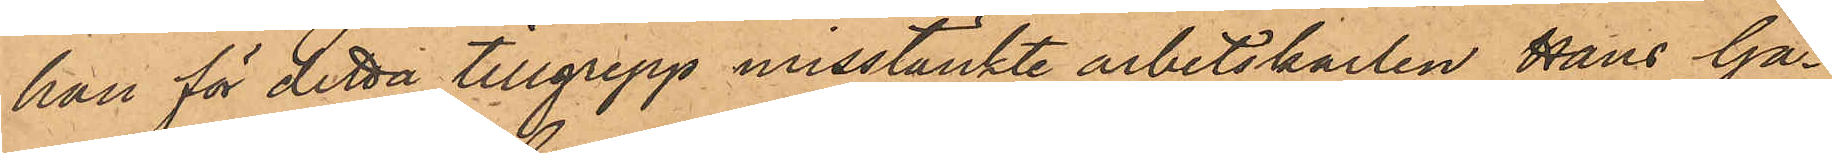han för detta tillgrepp misstänkte arbetskarlen Hans Ga¬
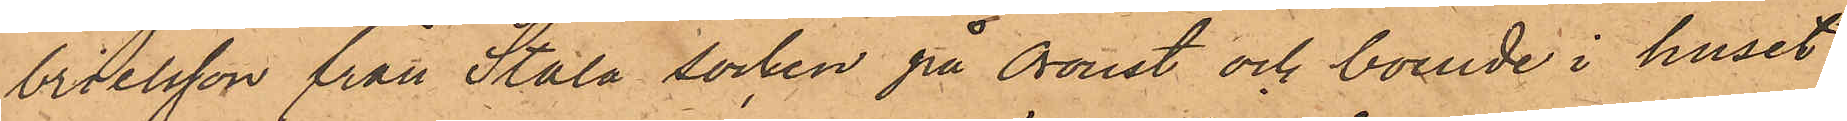brielsson från Stala socken på Oroust och boende i huset
